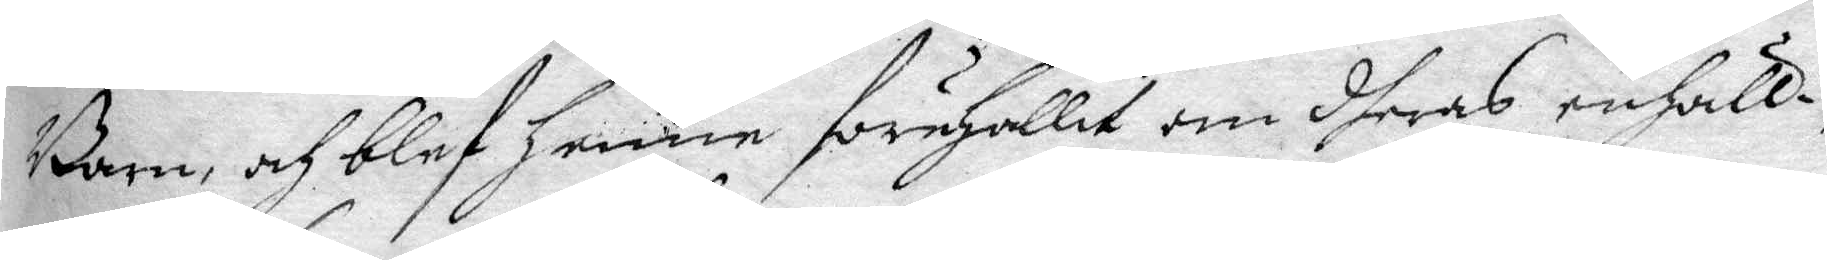Barn, och blef henne förehållit om dheras enhälli¬
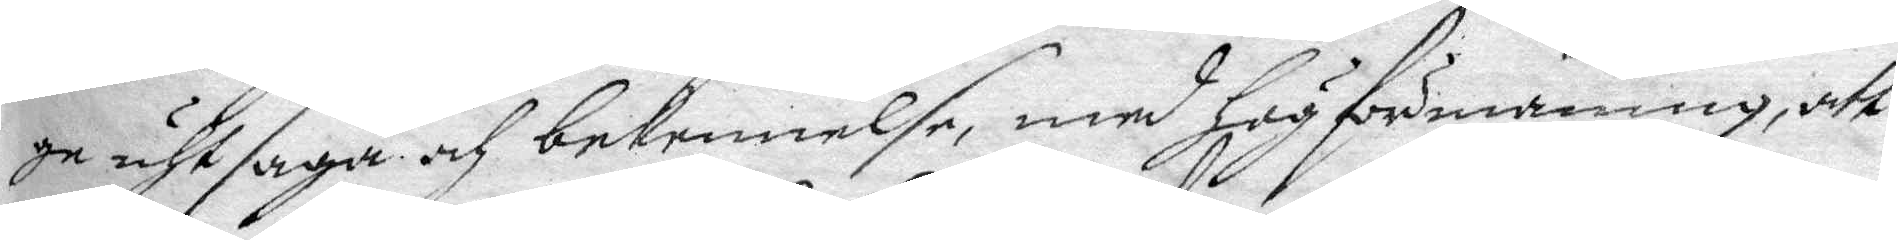ge uhtsaga och bekennelse, med hög förmaning, att
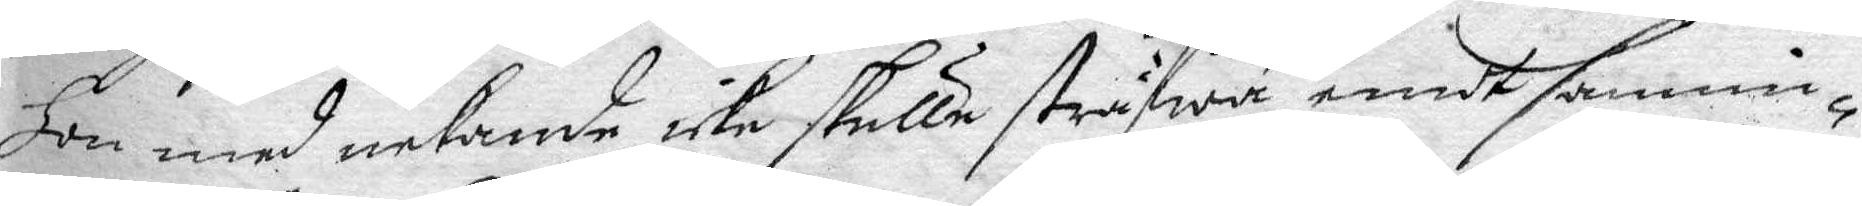hon med nekande icke skulle sträfwa emodt sannin¬
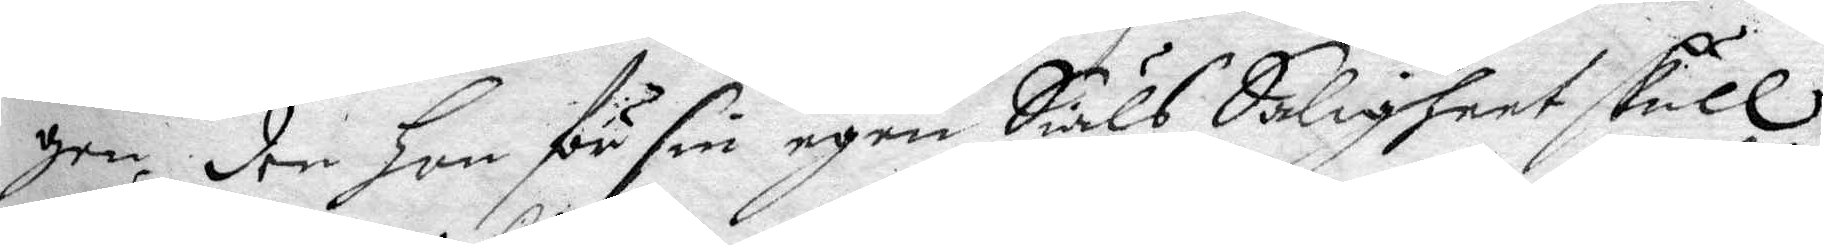gen, den hon för sin egen Siäls Saligheet skull
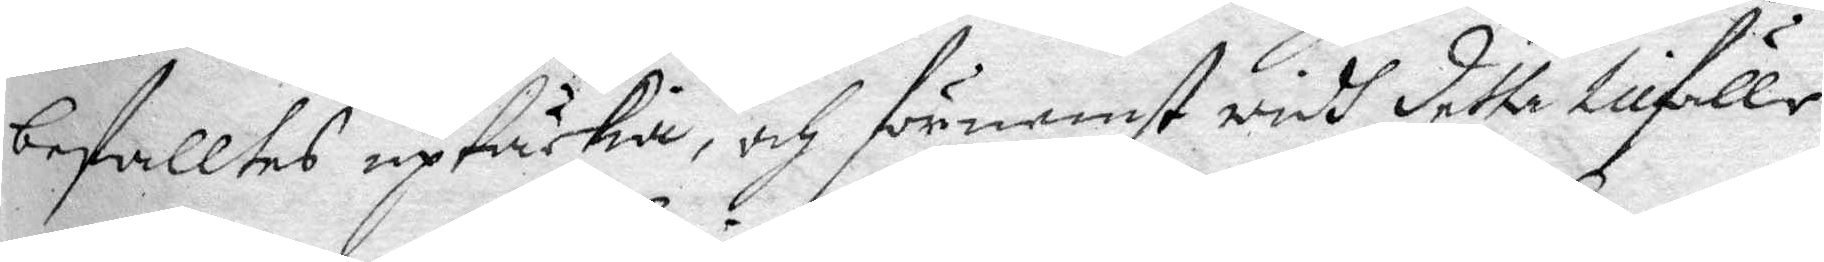befalltes uptäckia, och förnemst widh dette tillfälle
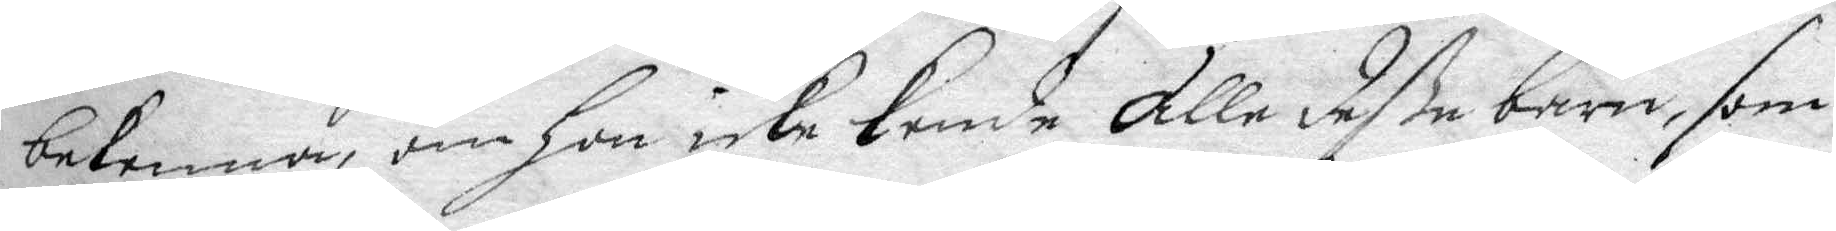bekenna, om hon icke kende alle deße barn, som
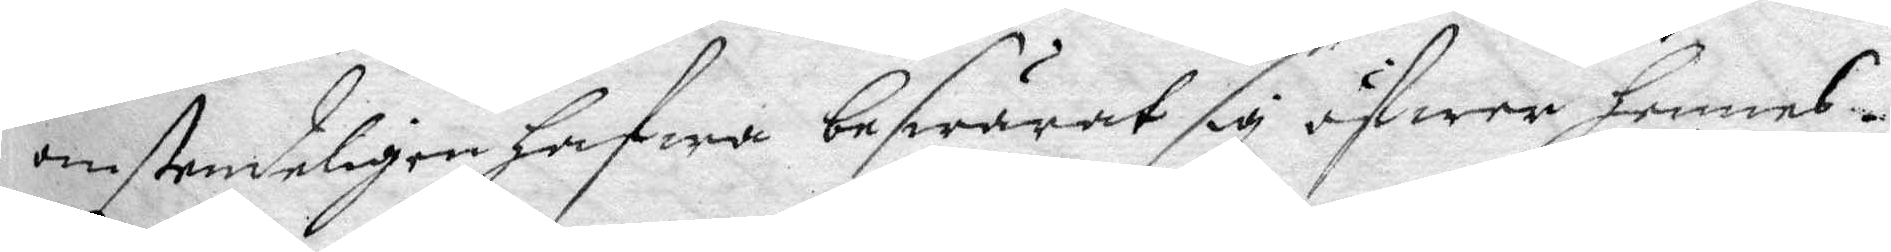omstendeligen hafwa beswärat sig öfwer hennes
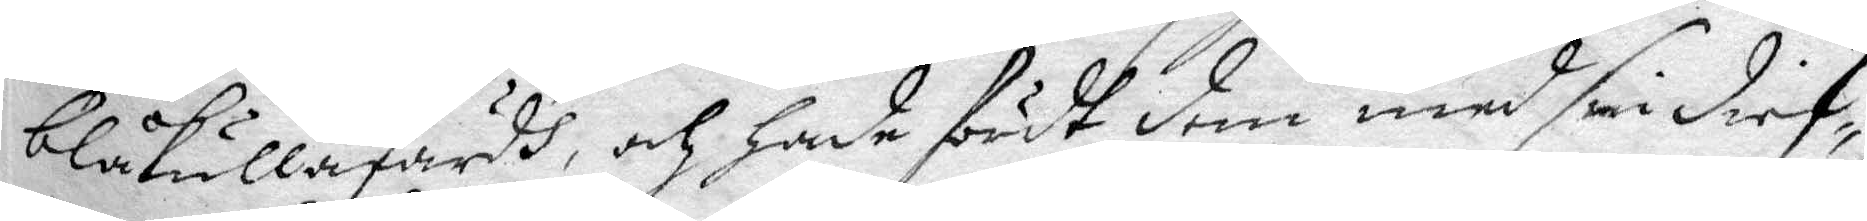blåkullafärdh, och hade fördt dem med sin dief¬
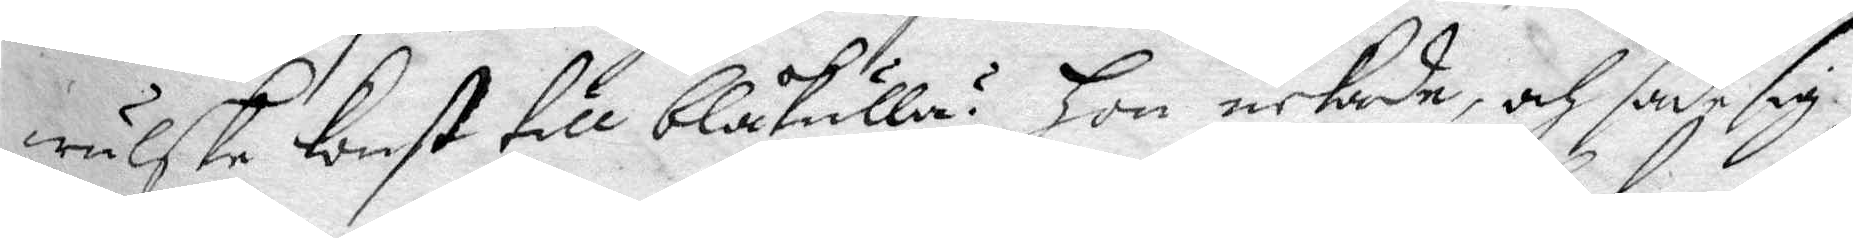wulske konst till blåkulla? hon nekade, och sade sig
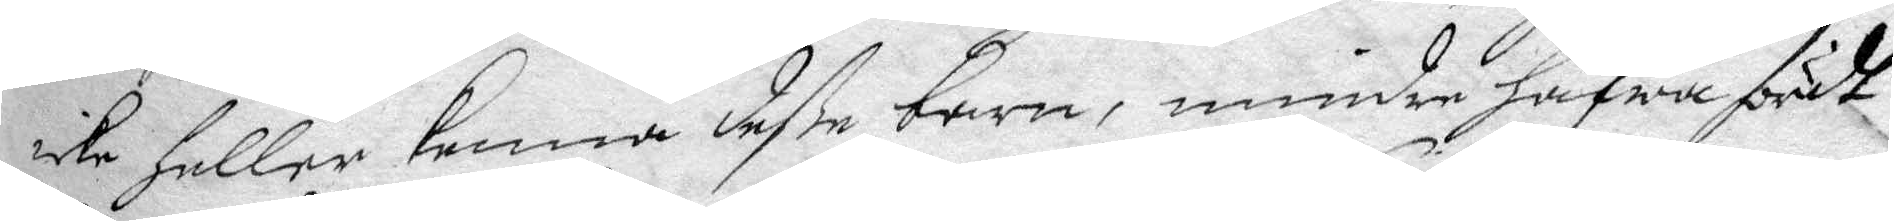icke heller kenna deße barn, mindre hafwa fördt
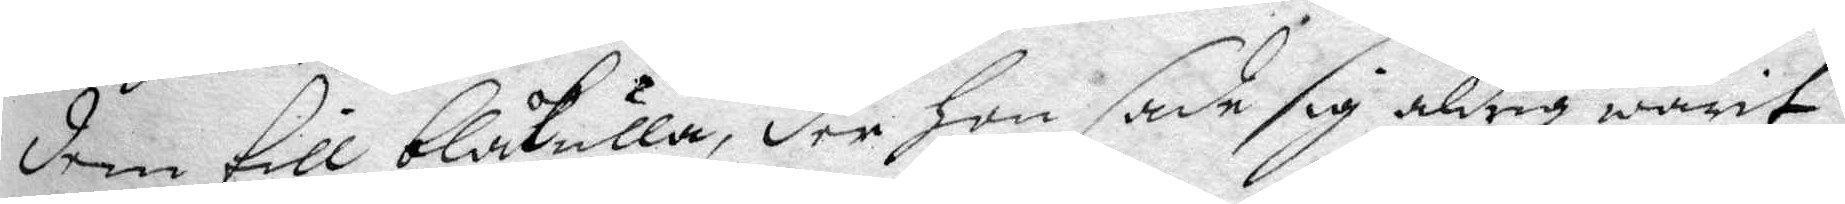dem till blåkulla, der hon sade sig aldrig warit
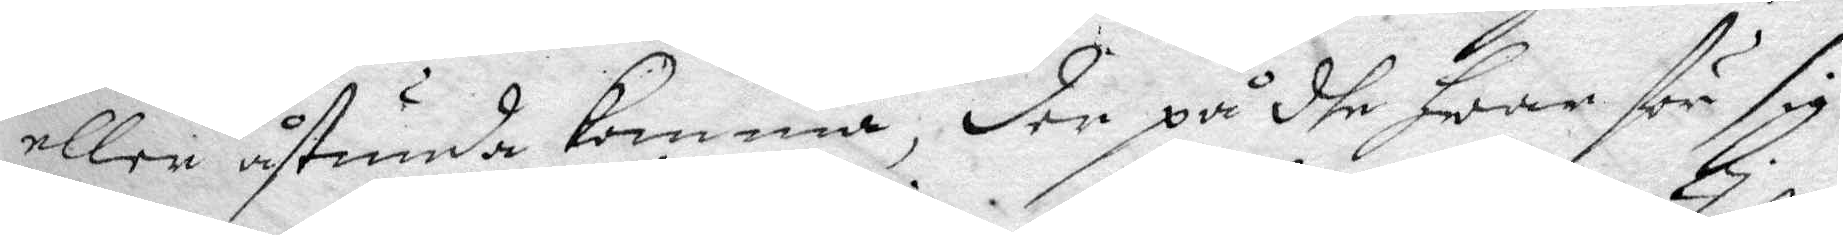eller åstunda komma, der på dhe hwar för sig
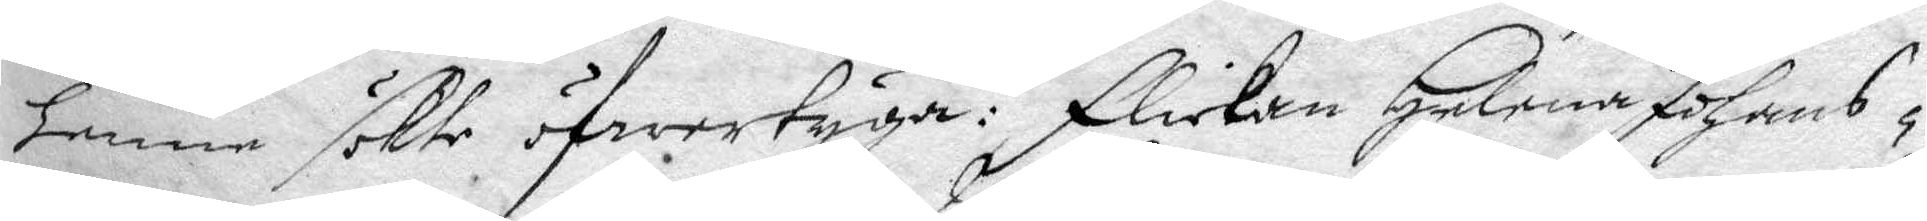henne slkte öfwertyga: Flickan Helena Johans¬
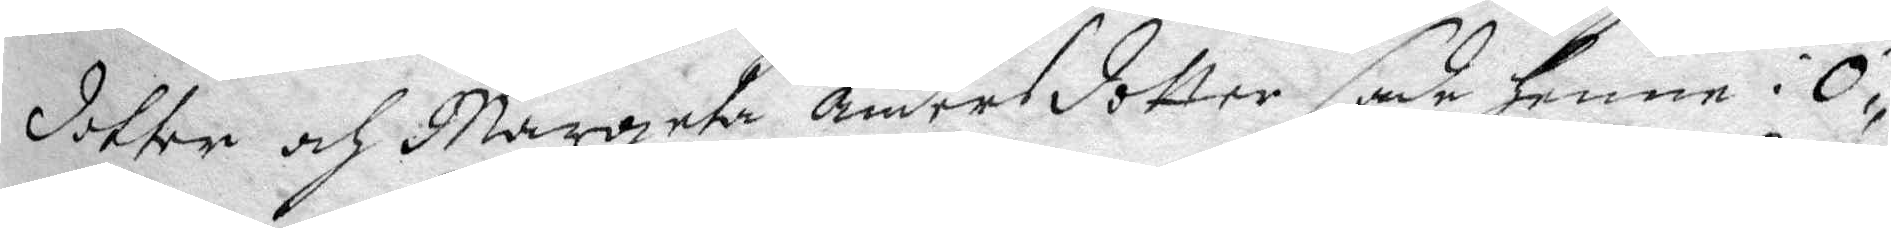dotter och Margeta Andersdotter sade henne i Ö¬
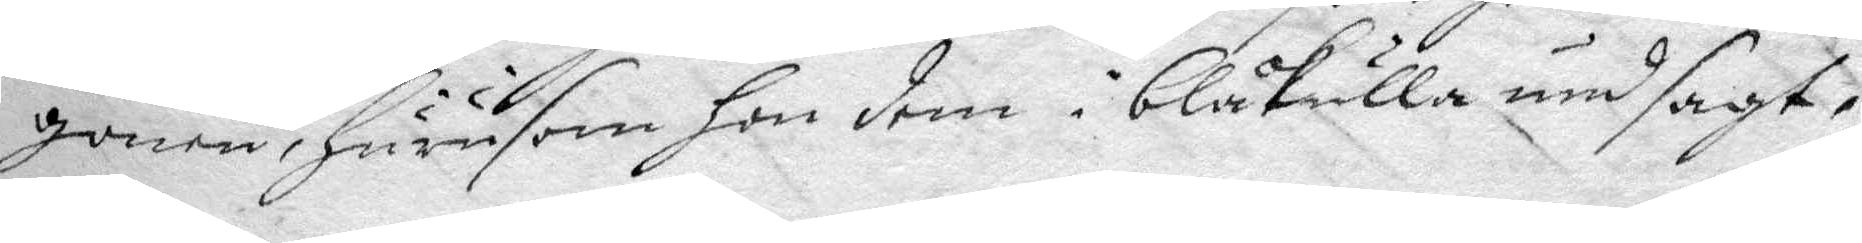gonen, hursom hon dem i blåkulla undsagt,
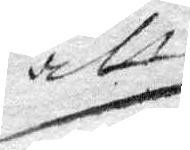att
